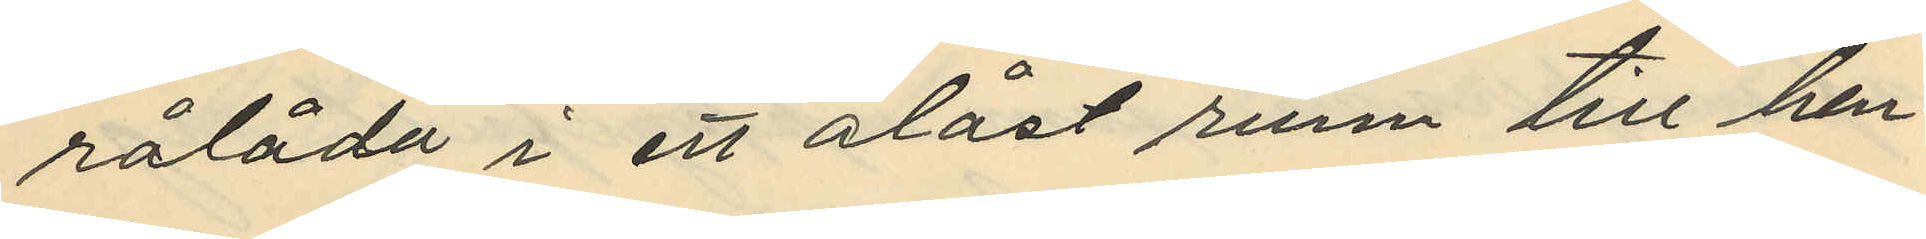rålåda i ett olåst rum till hen¬
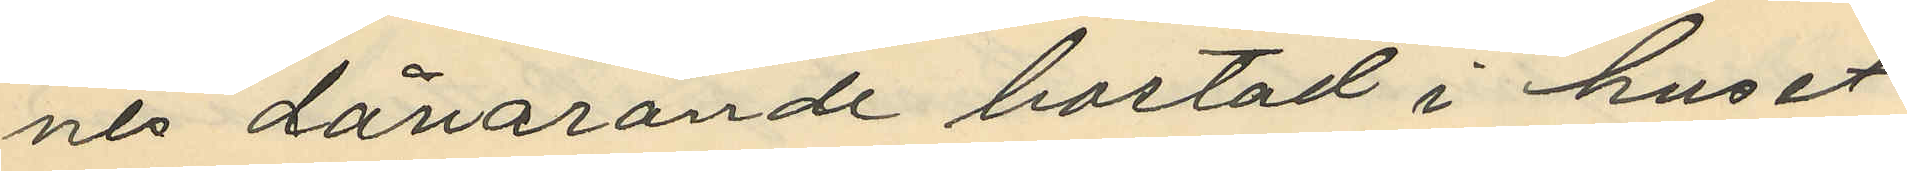nes dåvarande bostad i huset
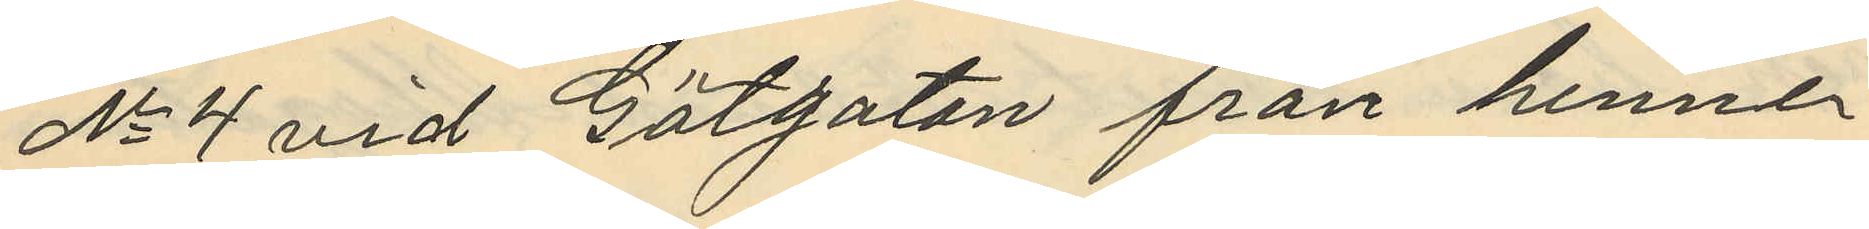No 4 vid Götgatan från henne
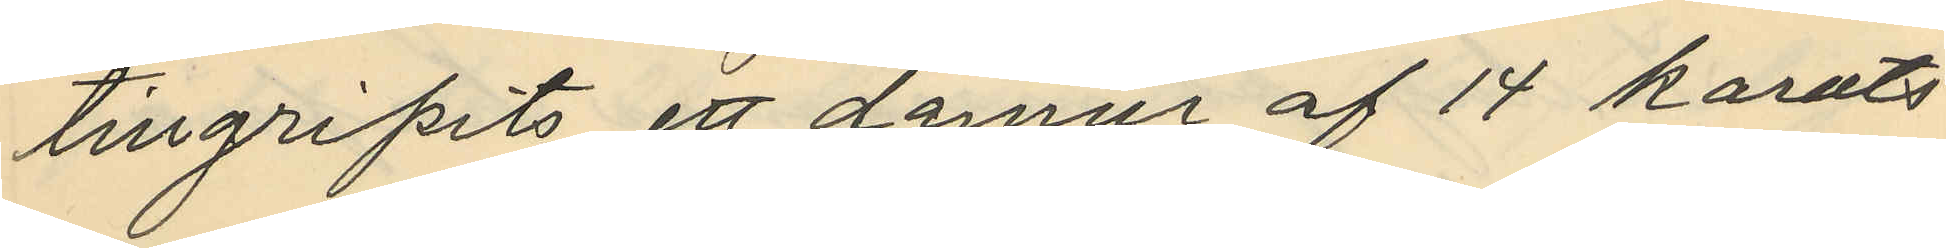tillgripits ett damur af 14 karats
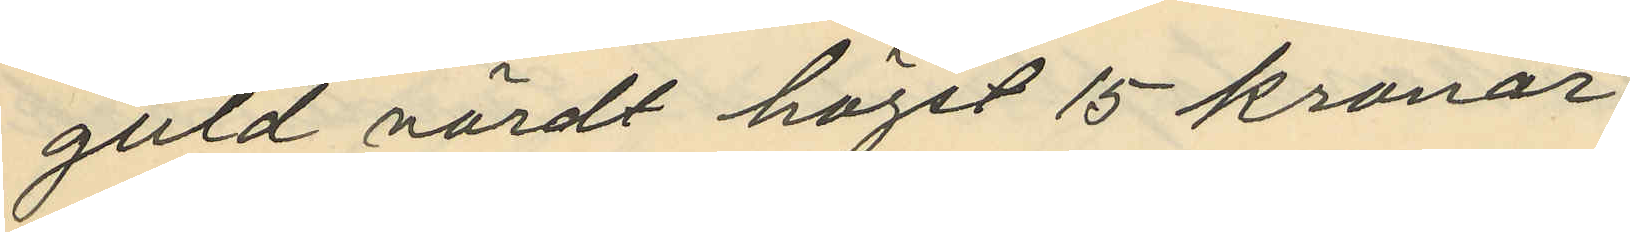guld värdt högst 15 kronor.
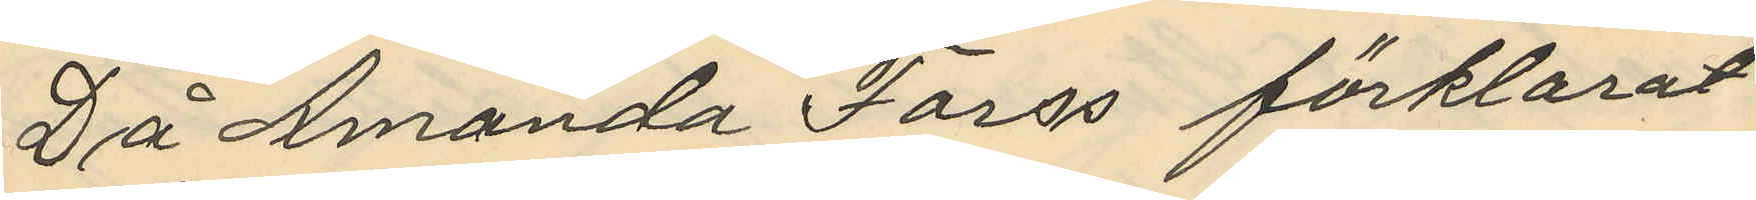Då Amanda Forss förklarat
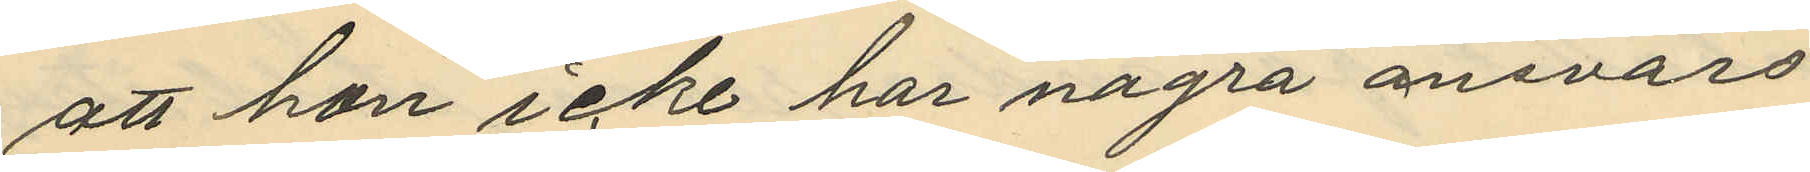att hon icke har några ansvars
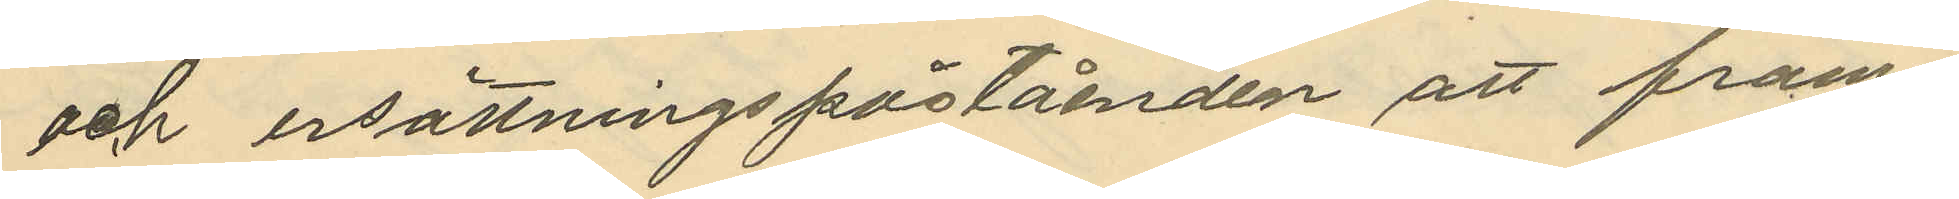och ersättningspåståenden att fram¬
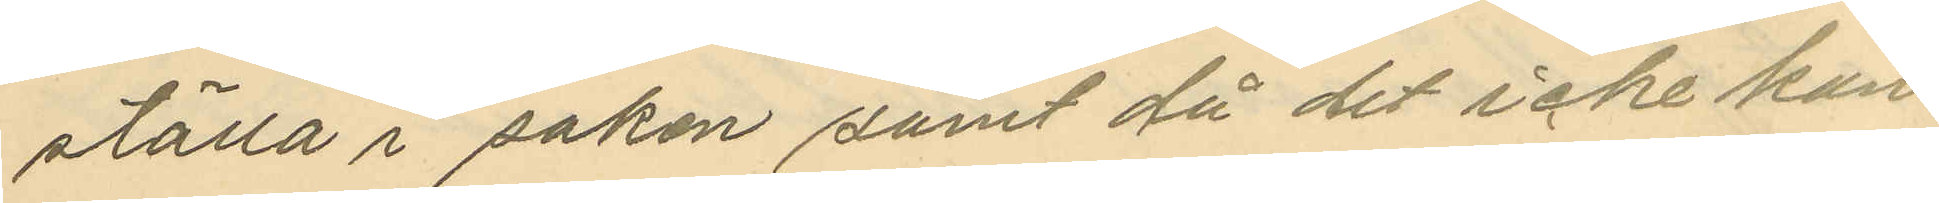ställa i saken samt då det icke kan
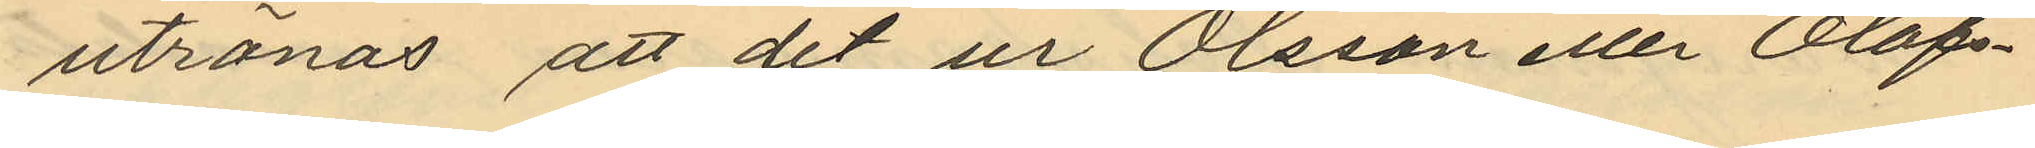utrönas att det ur Olsson eller Olofs¬
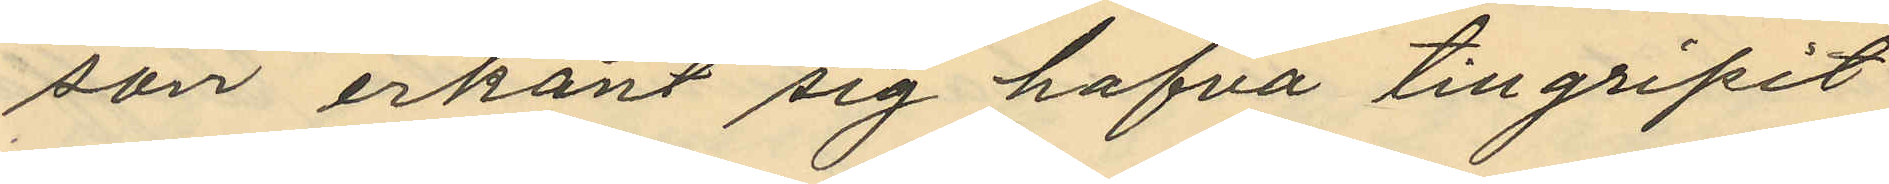son erkänt sig hafva tillgripit
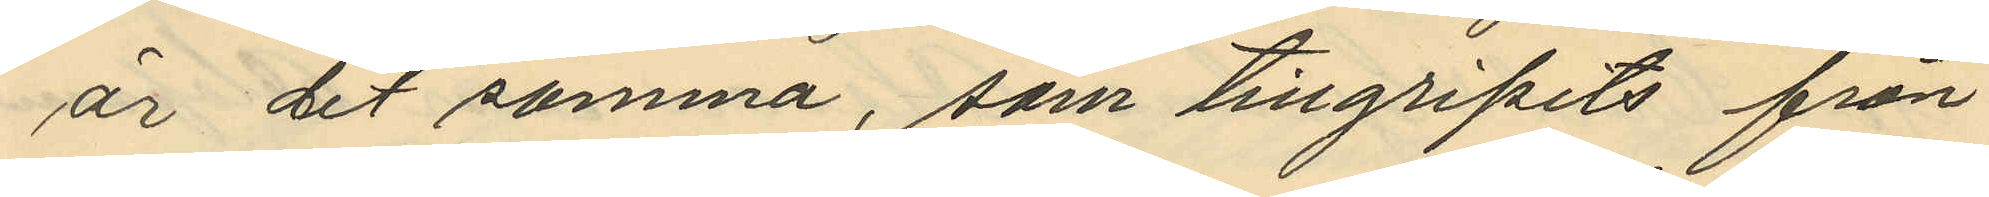är det samma, som tillgripits från
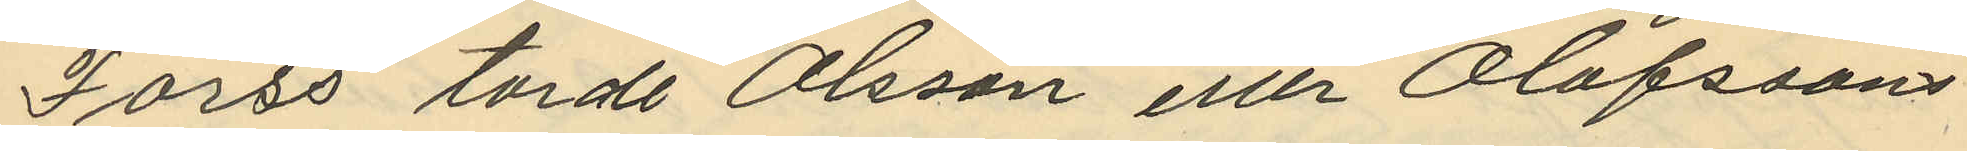Forss torde Olsson eller Olofssons
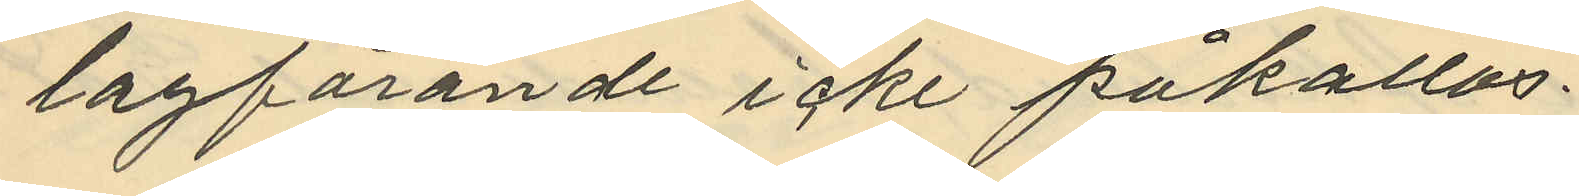lagfarande icke påkallas.
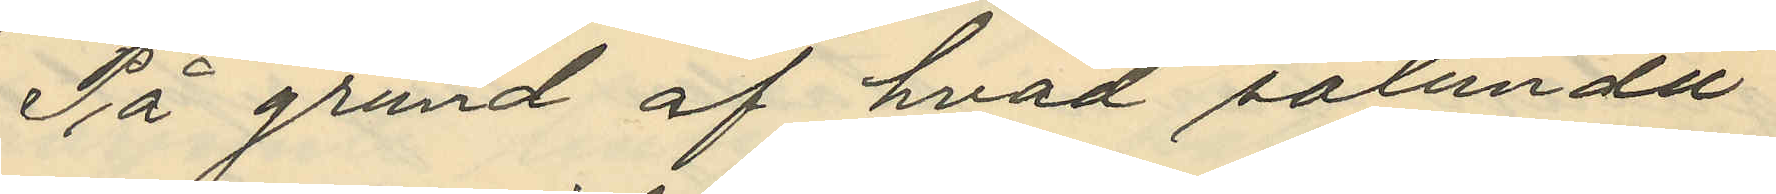På grund af hvad sålunda
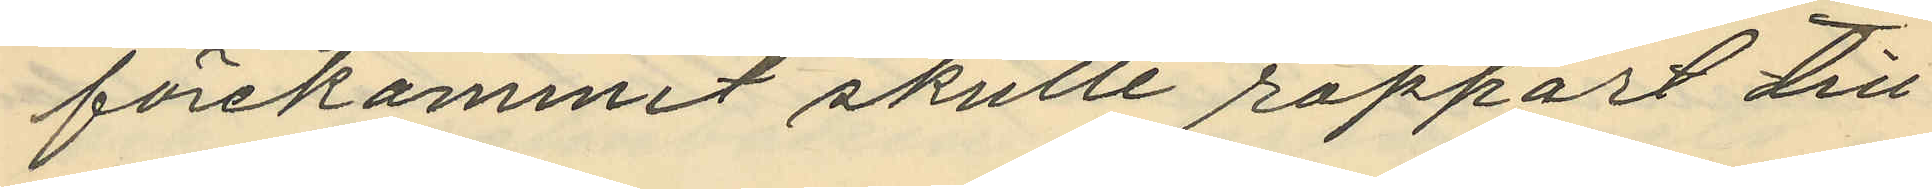förekommit skulle rapport till
